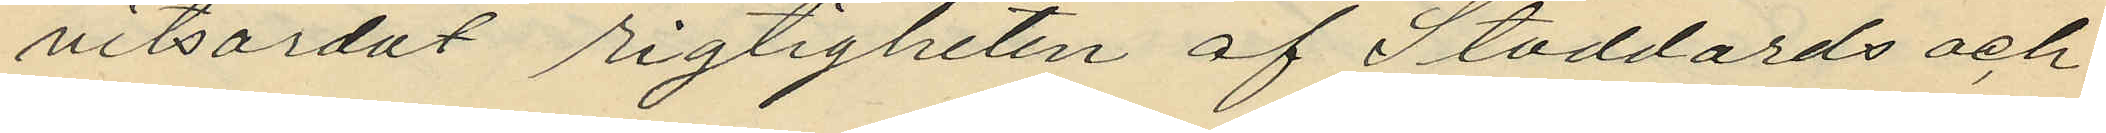vitsordat rigtigheten af Stoddards och
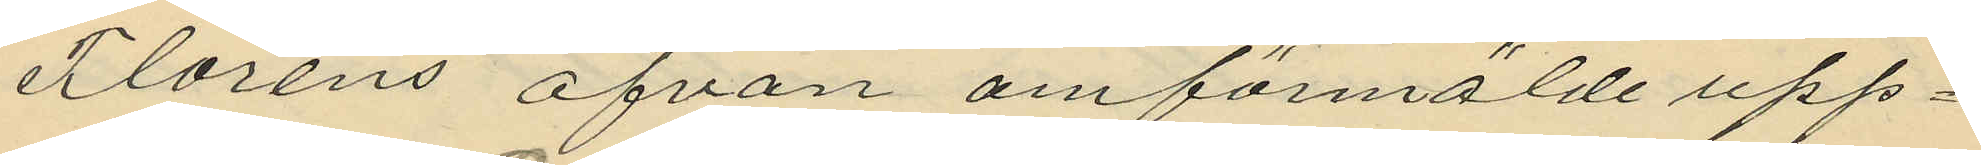Floréns ofvan omförmälde upp¬
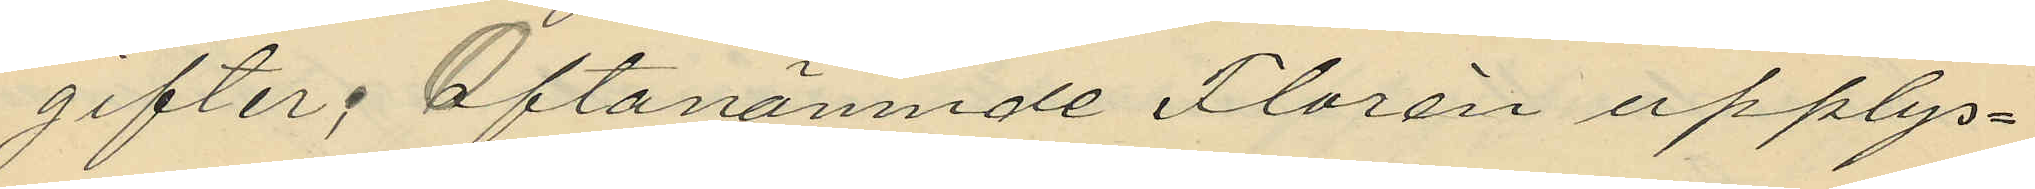gifter. Oftanämnde Florén upplys¬
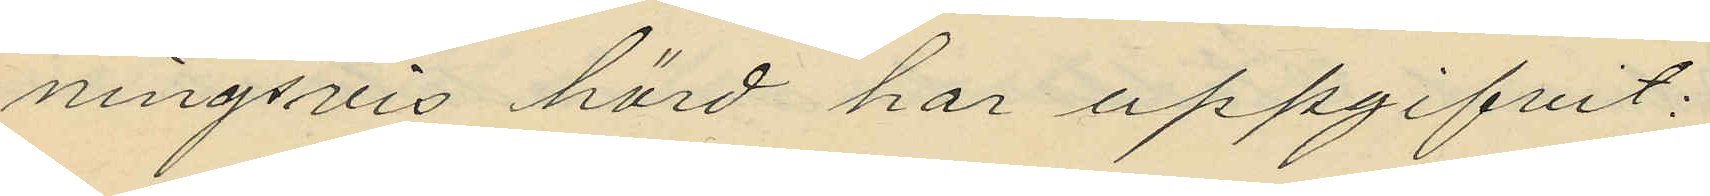ningsvis hörd har uppgifvit:
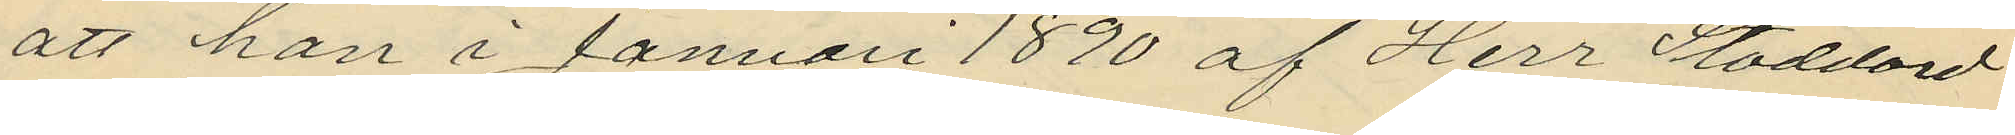att han i Januari 1890 af Herr Stoddard
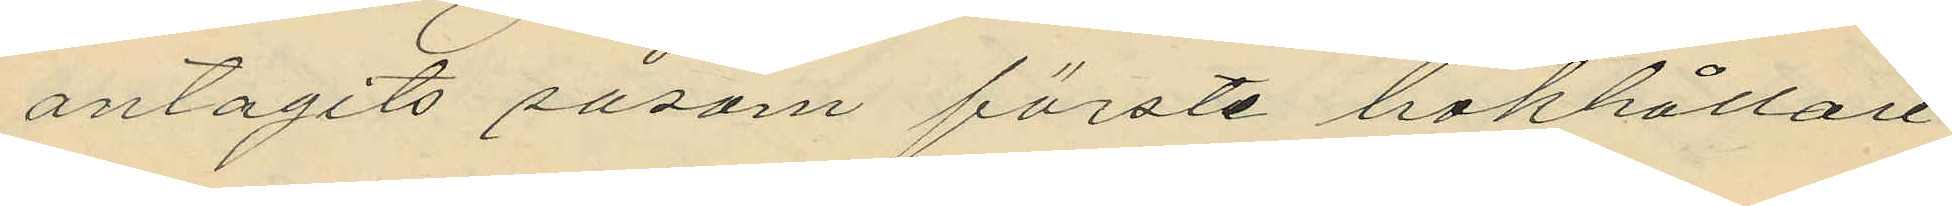antagits såsom förste bokhållare
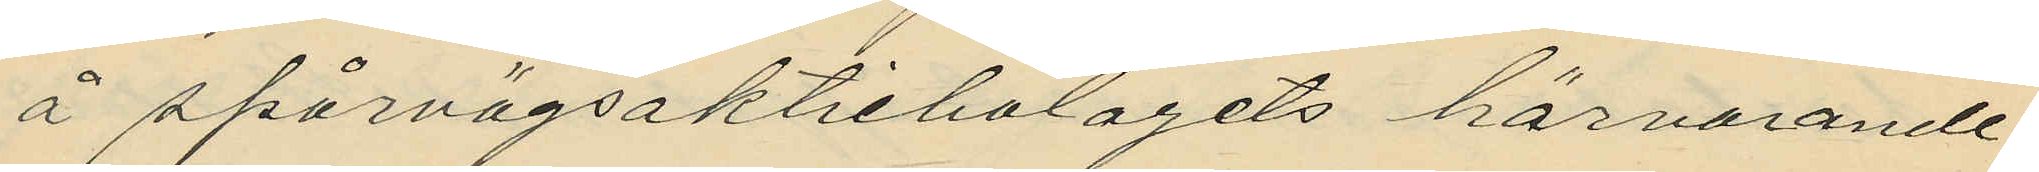å spårvägsaktiebolagets härvarande
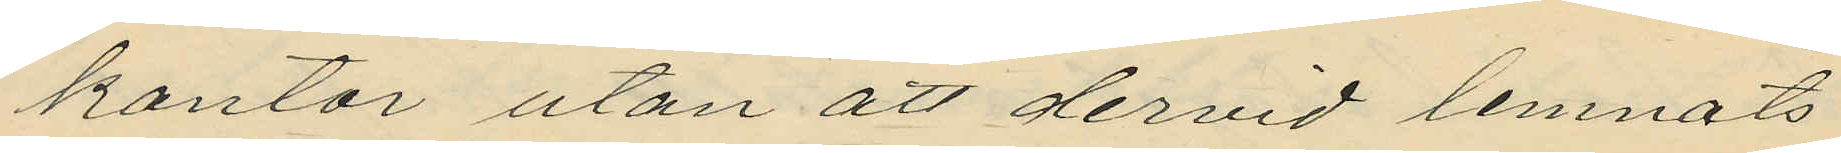kontor utan att dervid lemnats
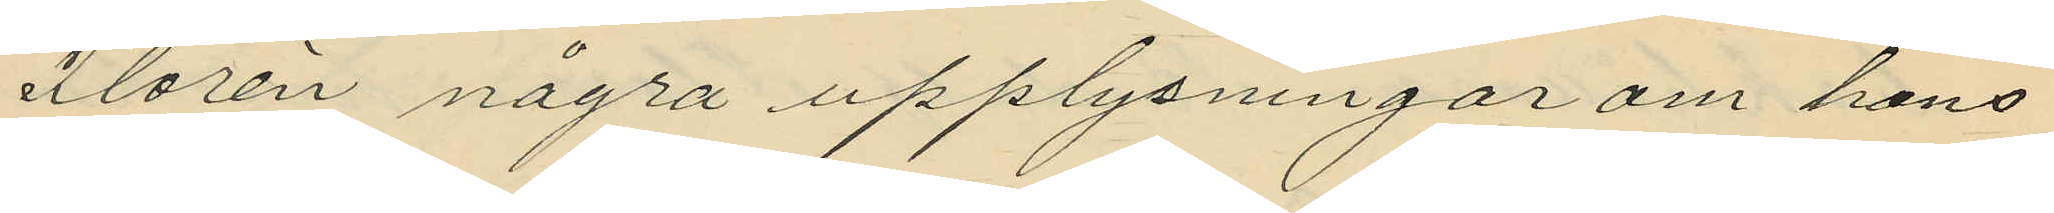Florén några upplysningar om hans
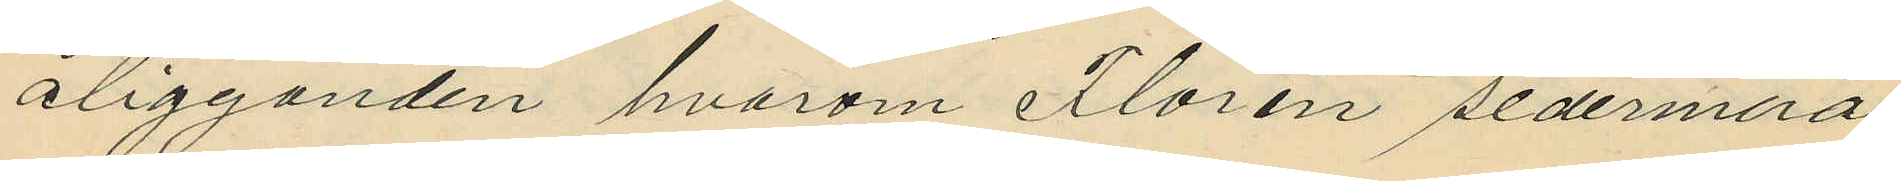åligganden hvarom Florén sedemera
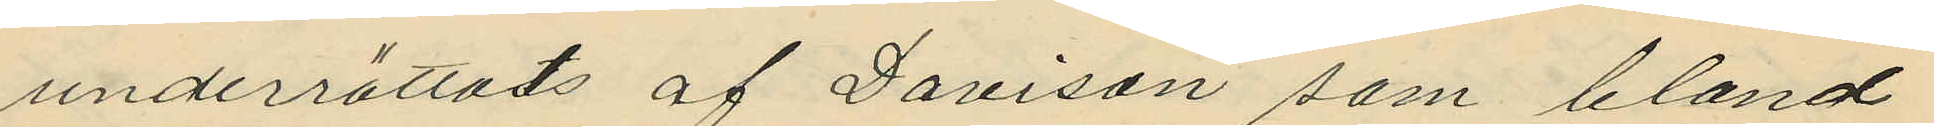underrättats af Davison som bland
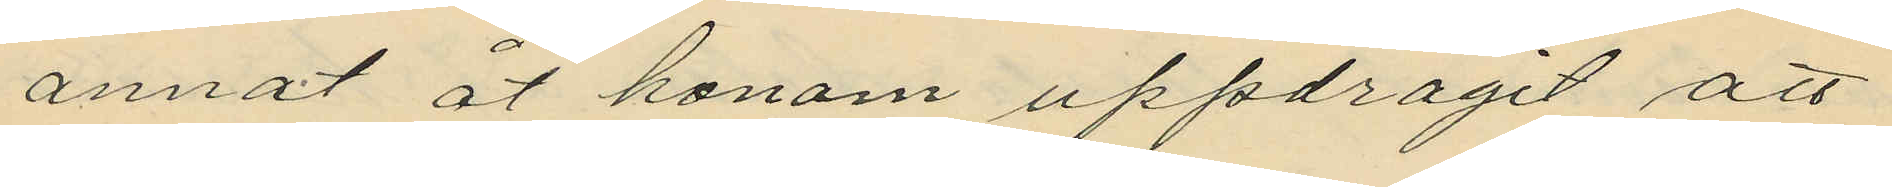annat åt honom uppdragit att
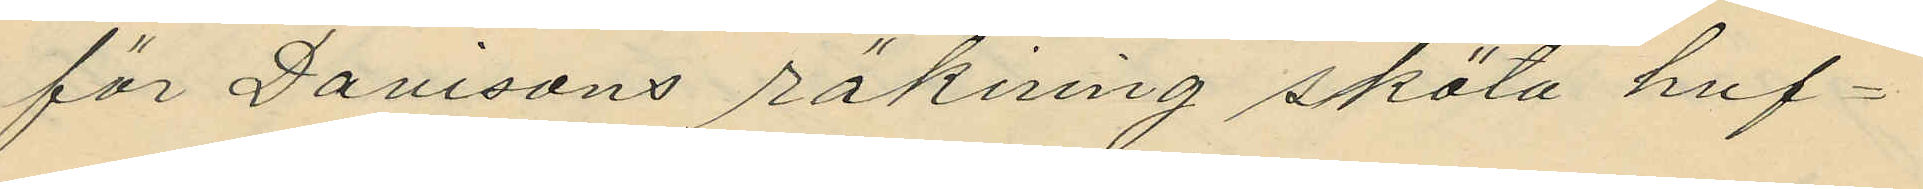för Davisons räking sköta huf¬
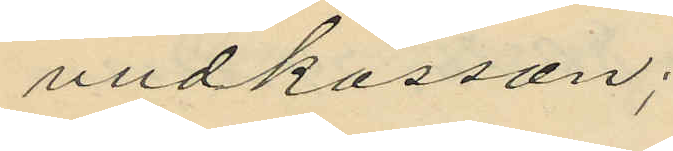vudkassan;
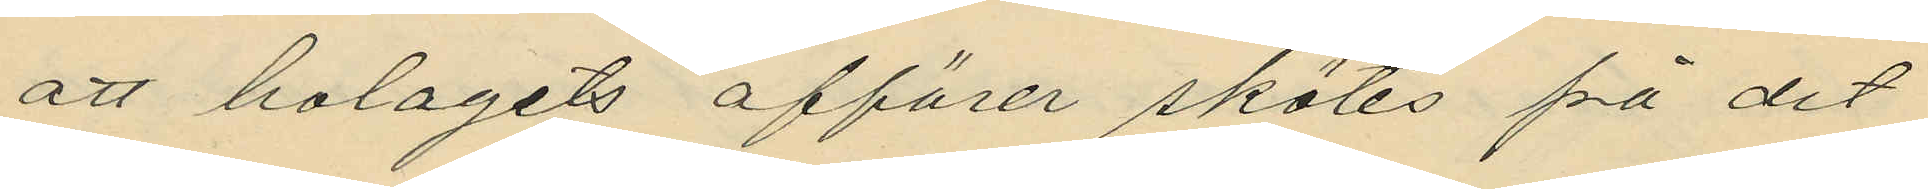att bolagets affärer skötes på det
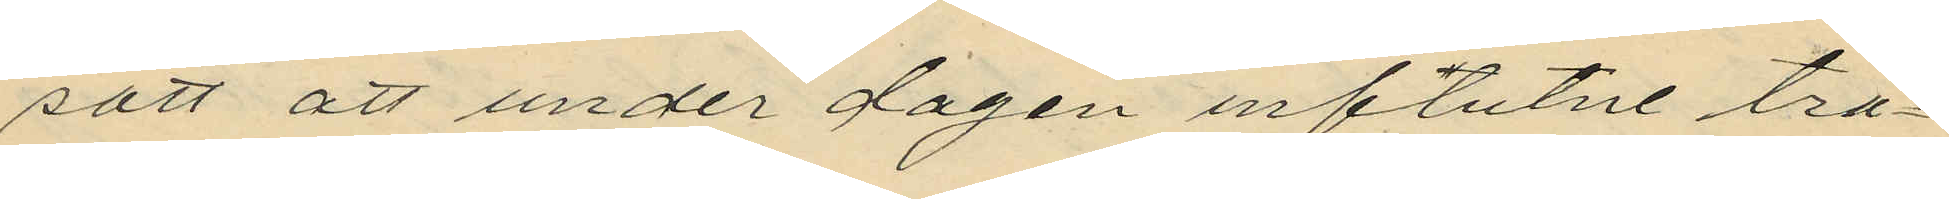sätt att under dagen influtne tra¬
